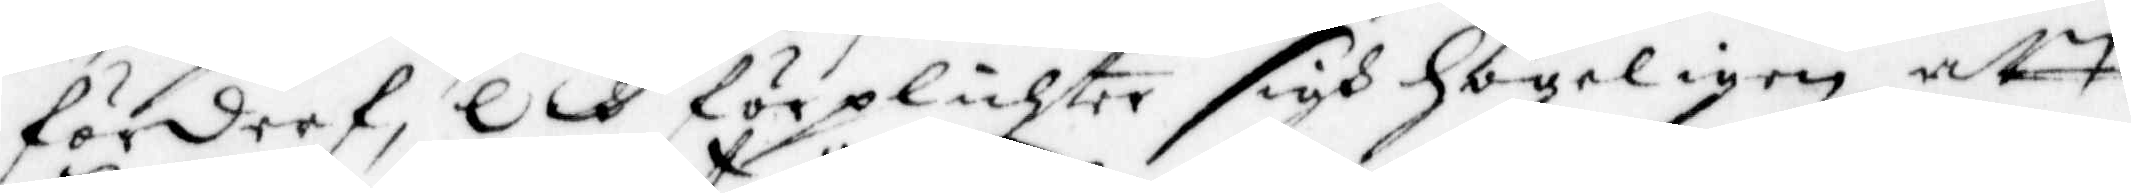förderf, och förplichter sigh högeligen att
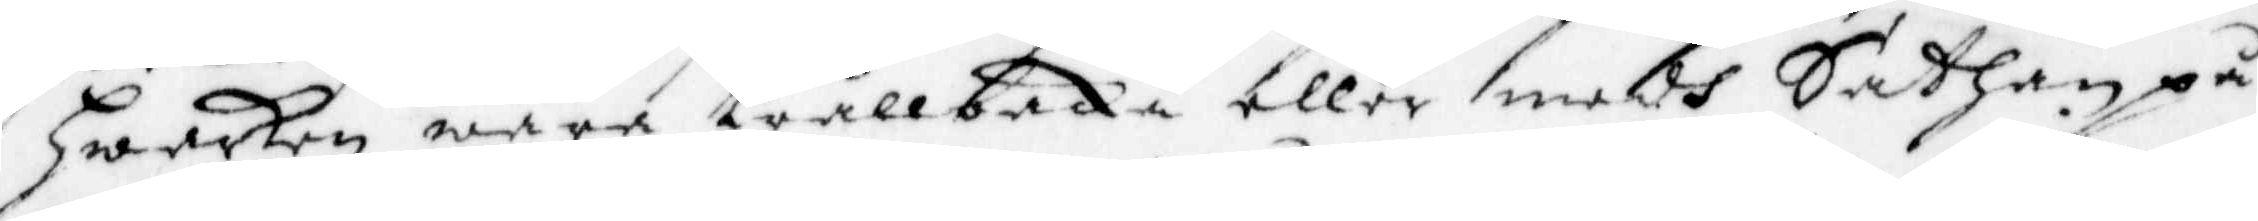hwarken wara trållbaka eller medh Sathan på
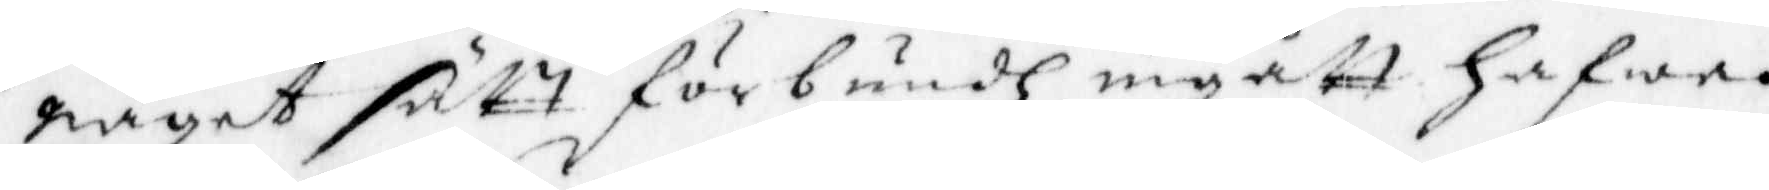något satt förbundh igått hafwa.
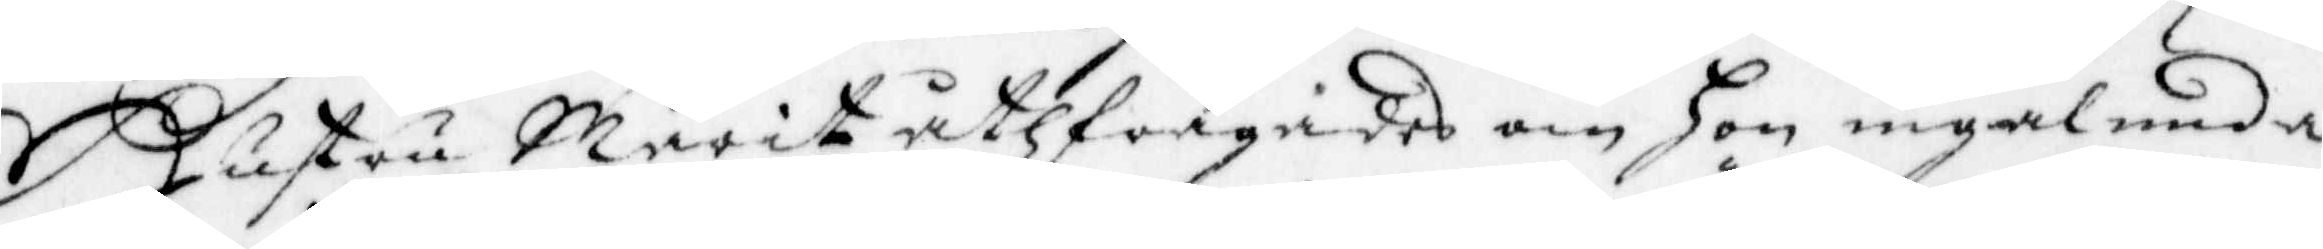Hustru Marit uthfrågades om hon ingalunda
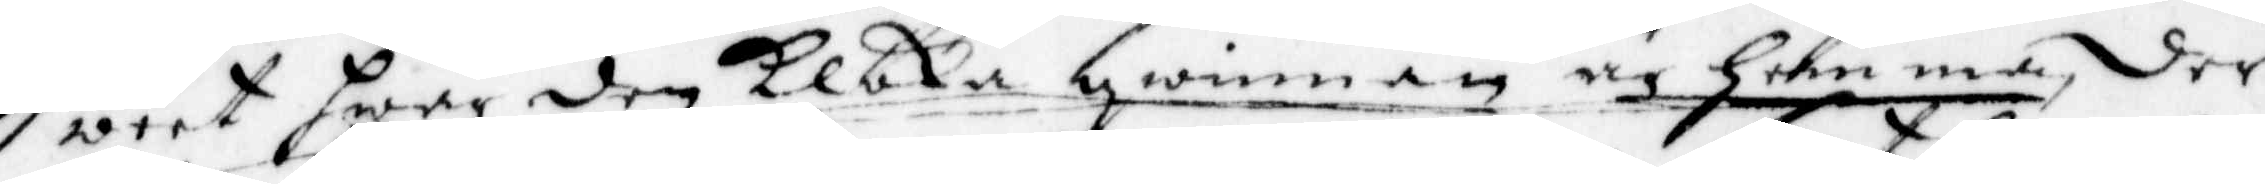weet hwar den Kloka qwinnan är hemma, der
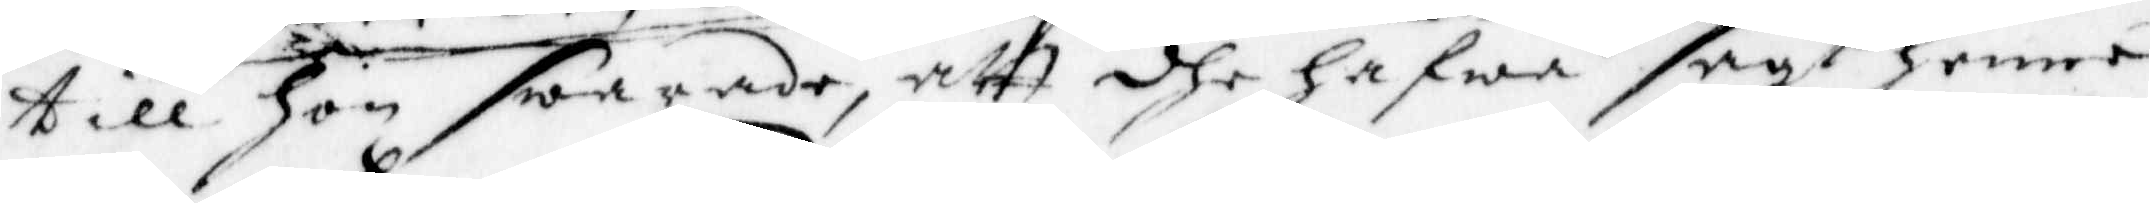till hon swarade, att dhe hafwa sagt henne
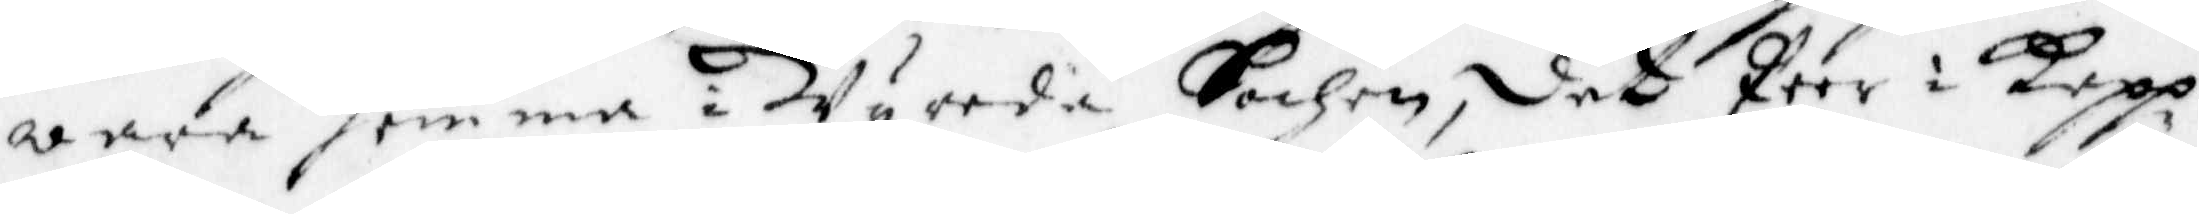wara hemma i Wyreda Sochen, det Peer i Kepp¬
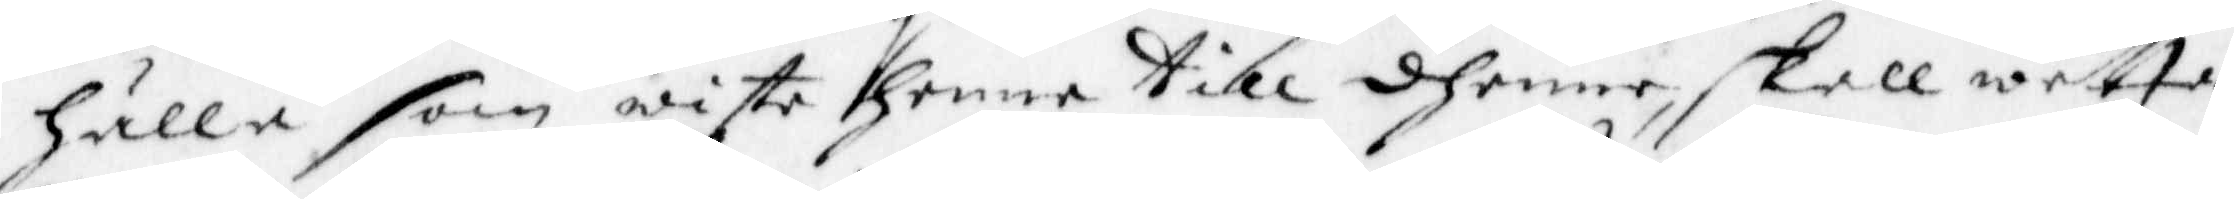Hälla som wiste henne till dhenne skall wetta
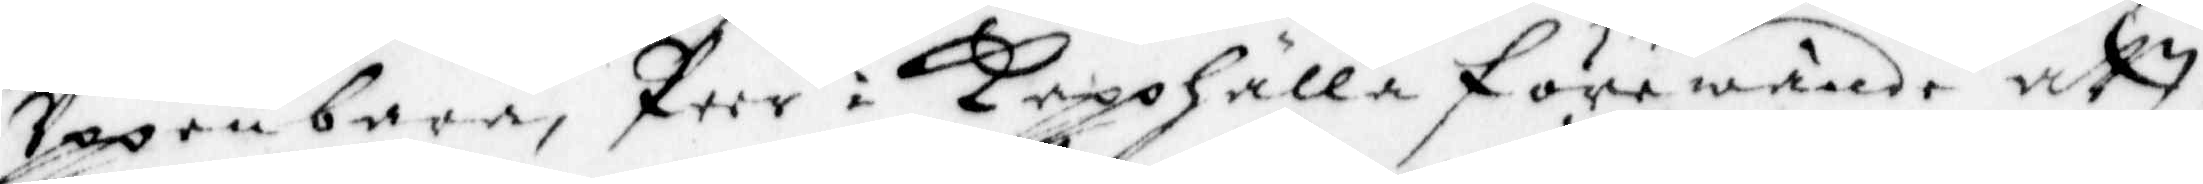Uppenbara, Peer i Kepphälla förewände att
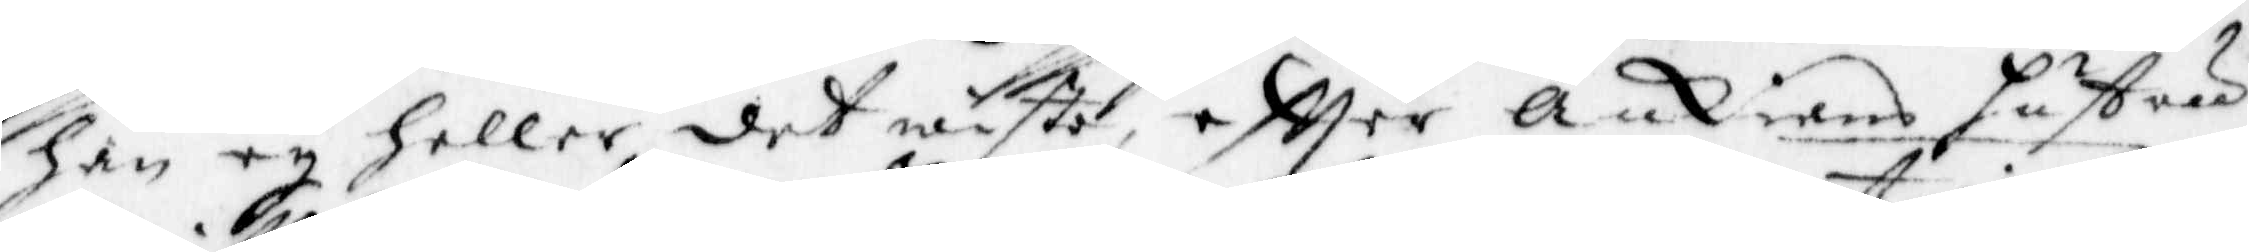han ey heller det wiste, eftter Änkians hustru
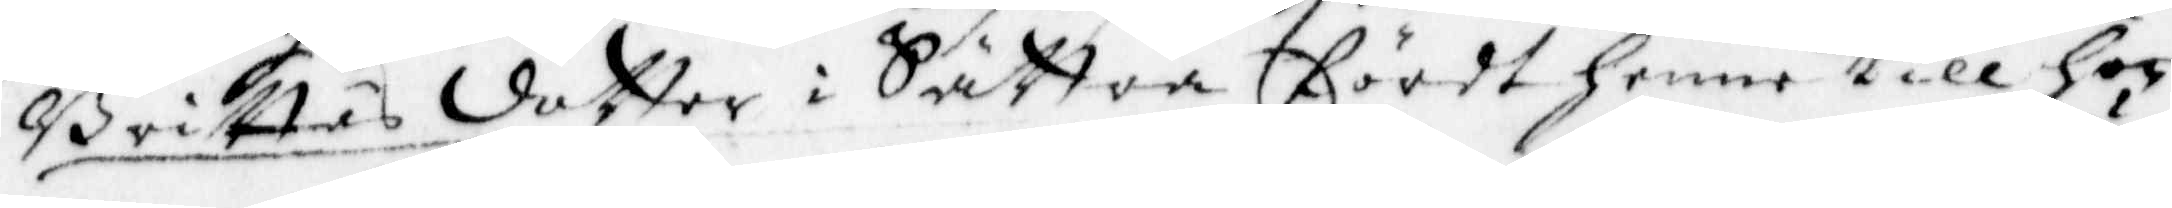Brittas dotter i Sättra fördt henne till hon¬
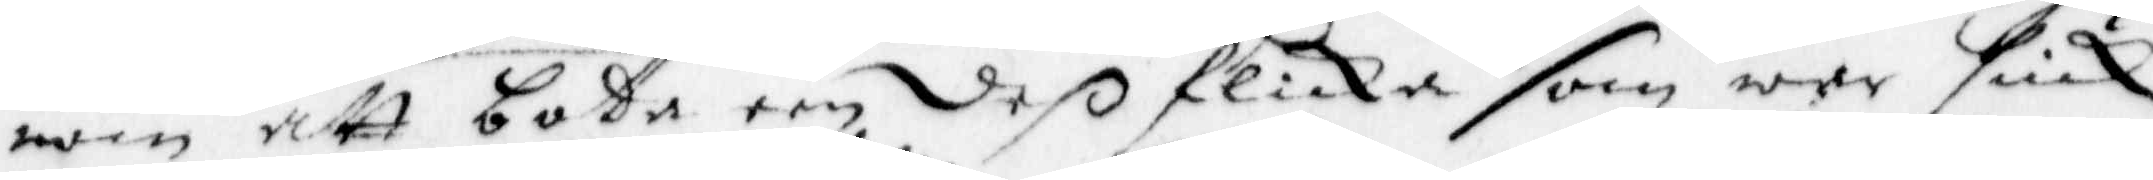nom att bota een deß flicka som wer siuk,
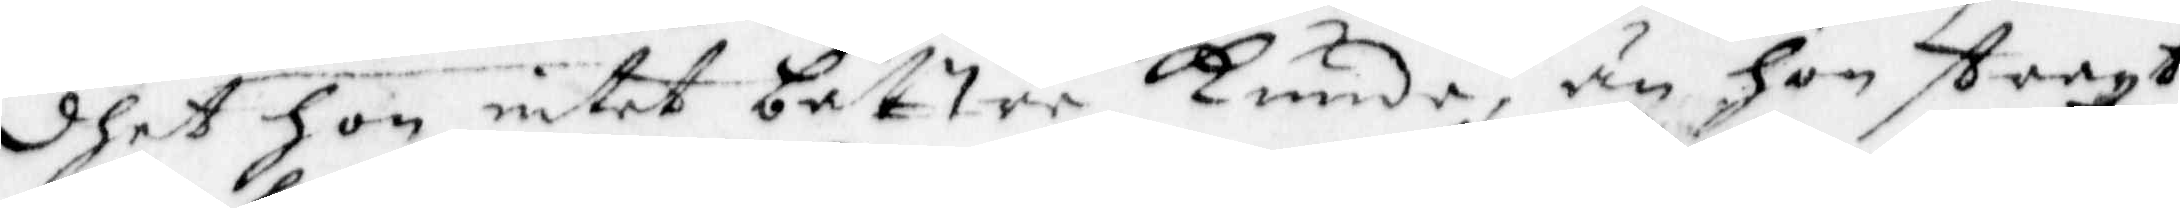dhet Hon intet bättre Kunde, än hon straxt
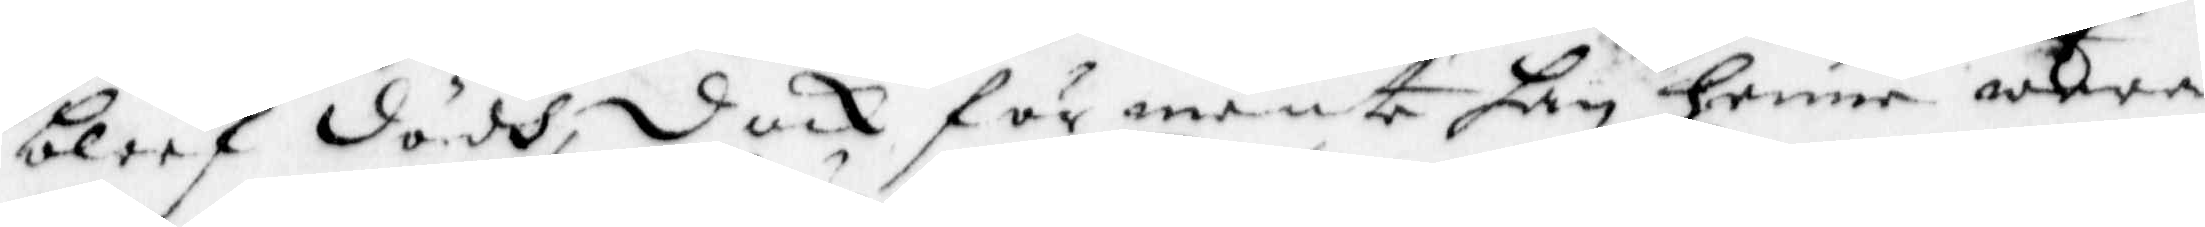bleef dödh, dock förmente han henne wara
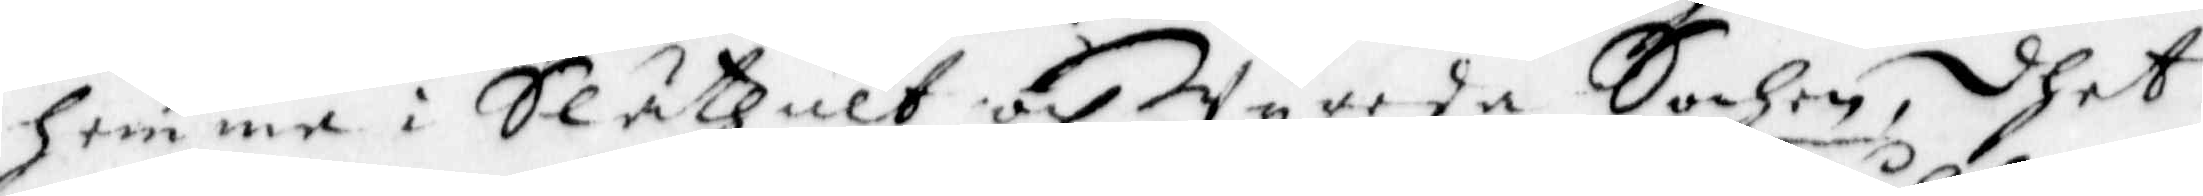hemme i Släthult och Wyreda Sochen, dhet
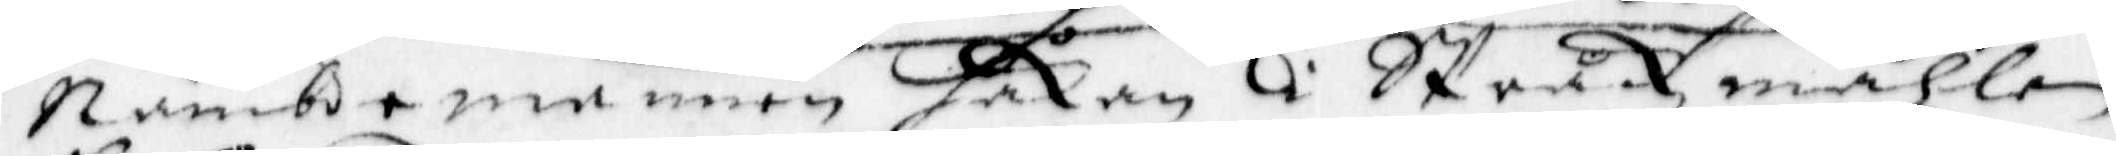Nämbde mannen Håkan i Stråkzmåhlen
